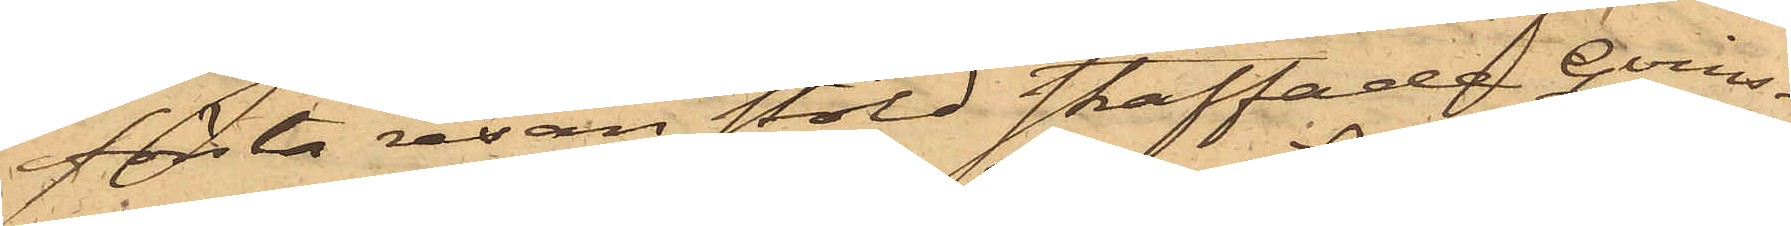första resan stöld straffade Qvins¬
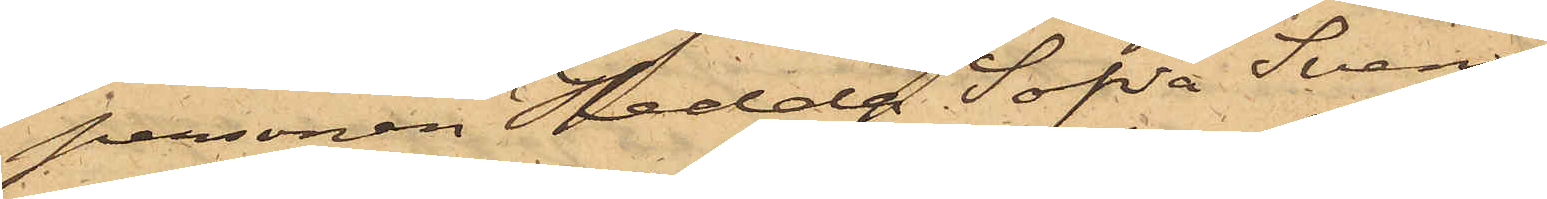personen Hedda Sofia Svens¬
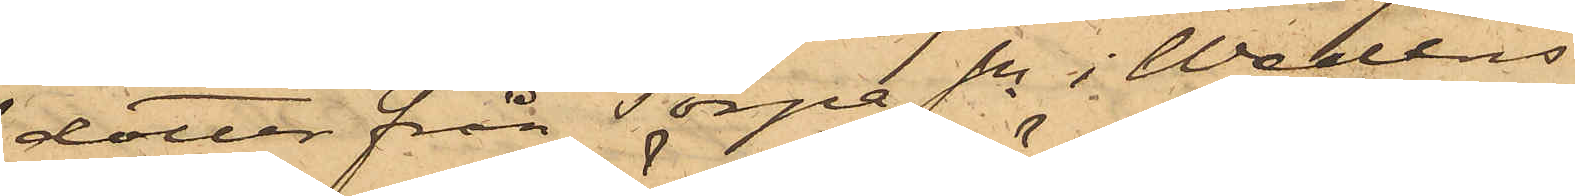dotter från Torpa Sn i Wedtles
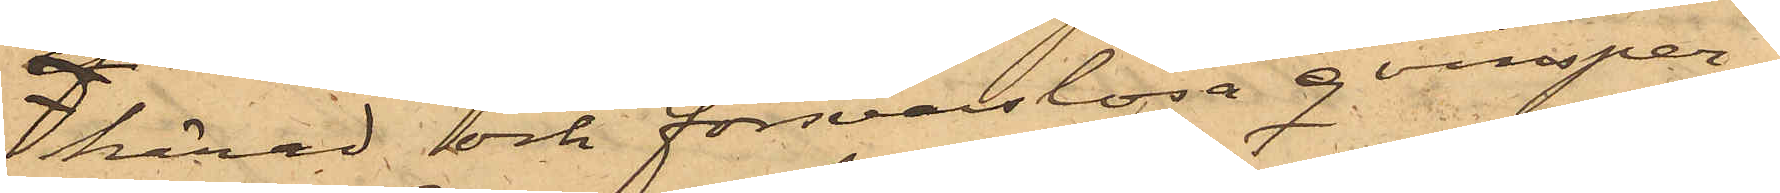härad och försvarslösa qvinsper¬
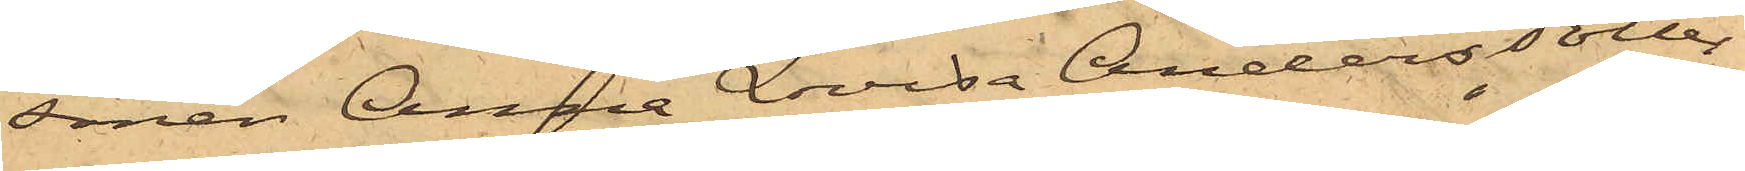sonen Anna Lovisa Andersdotter
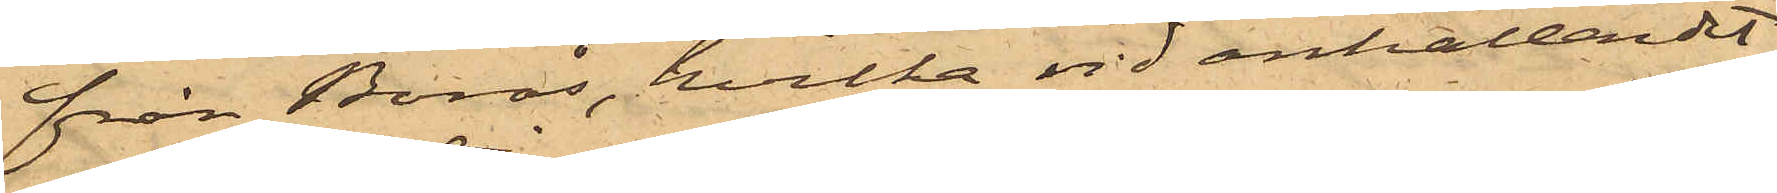från Borås, hvilka vid anhållandet
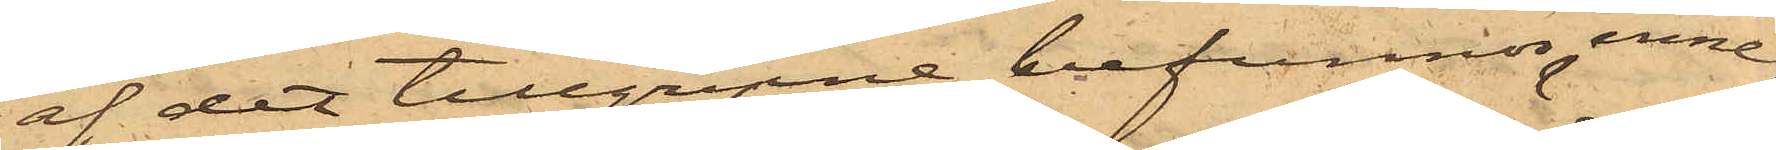af det tillgripne befunnos inne¬
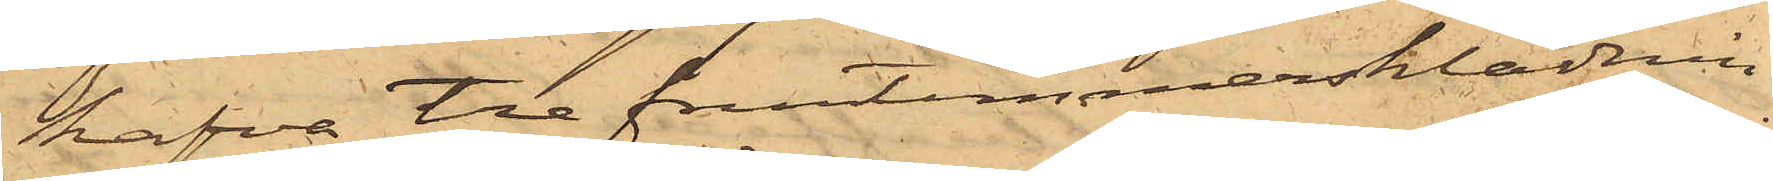hafva tre fruntimmersklädnin¬
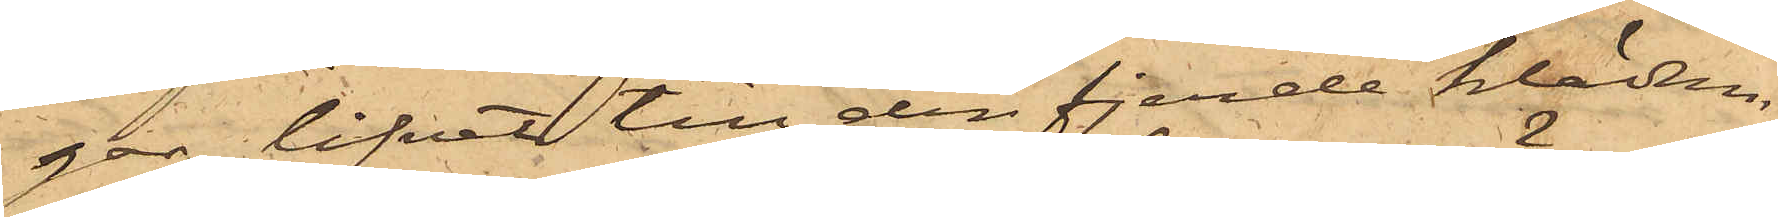gar, lifvet till den fjerde klädnin¬
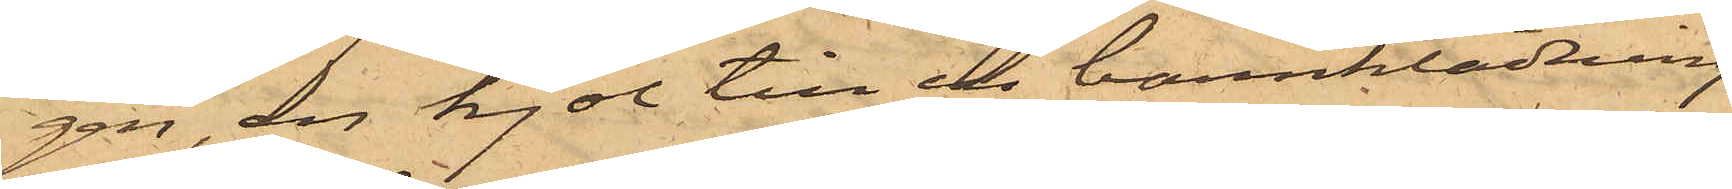gen, en kjol till en barnklädning
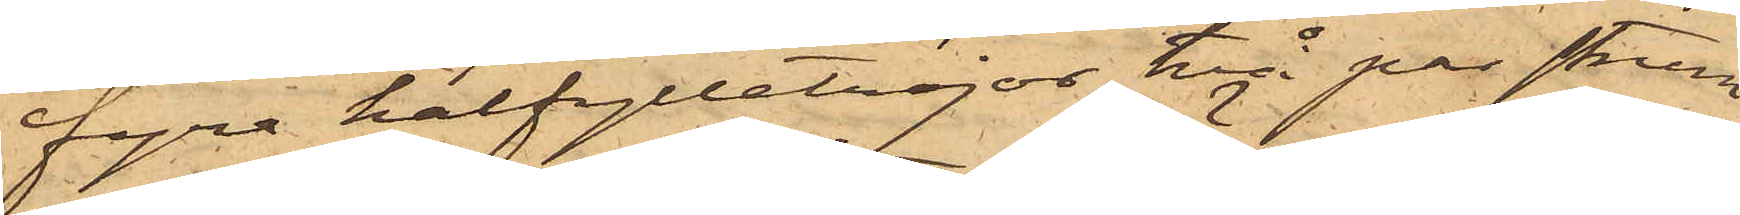fyra halfylletröjor, två par strum¬
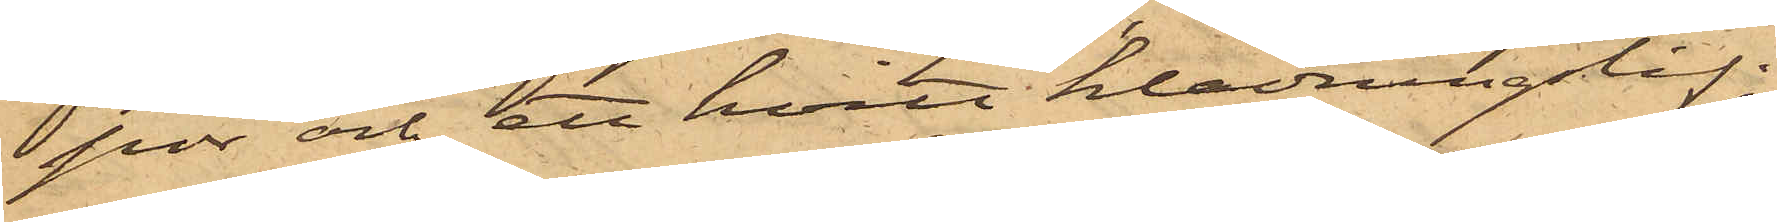por och ett hvitt klädningslif;
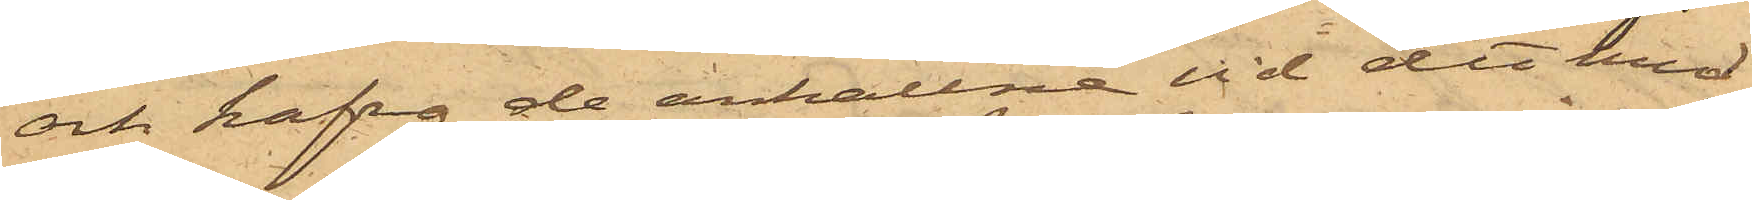och hafva de anhållne vid det med
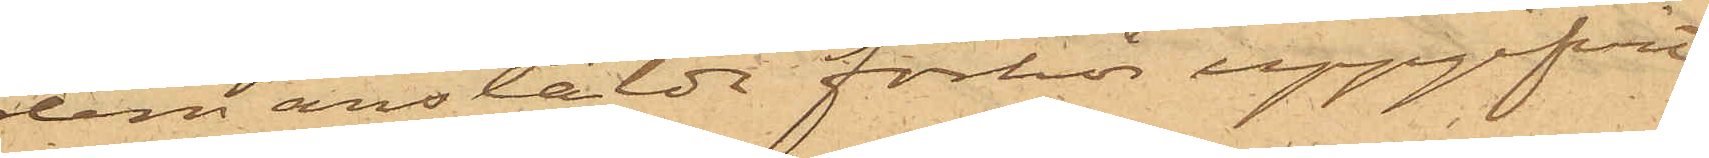dem anstäldt förhör uppgifvit,
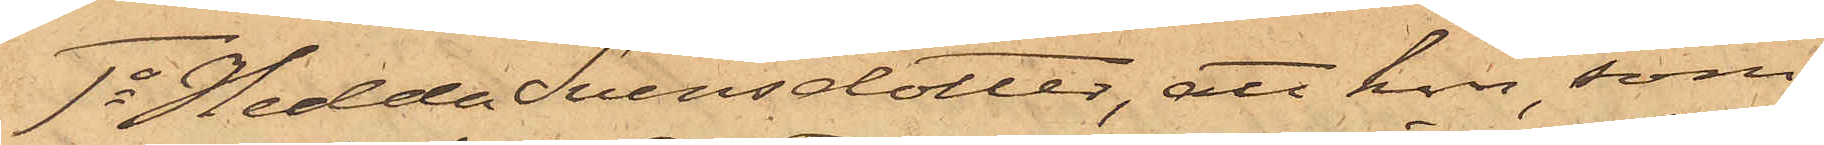1o Hedda Svensdotter, att hon, som
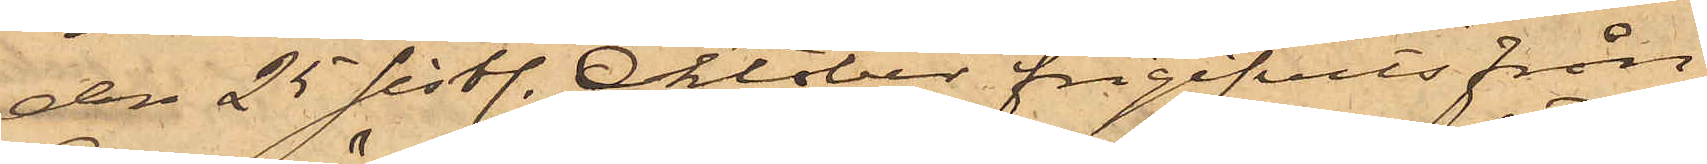den 25 sistl. Oktober frigifvits från
